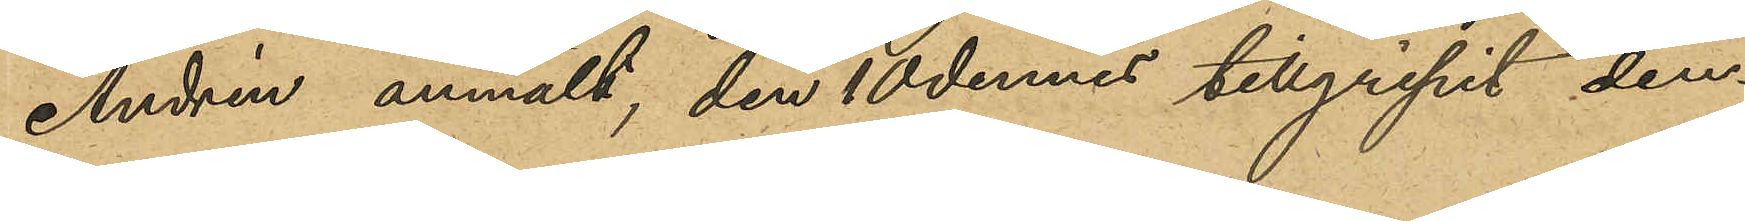Andrén anmält, den 10 dennes tillgripit den¬
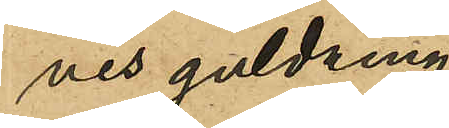nes guldring;
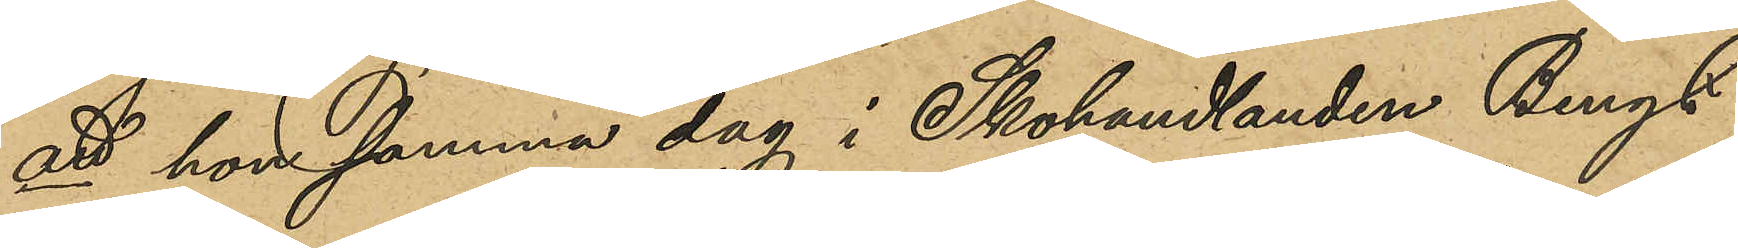att hon samma dag i Skohandlanden Bengt
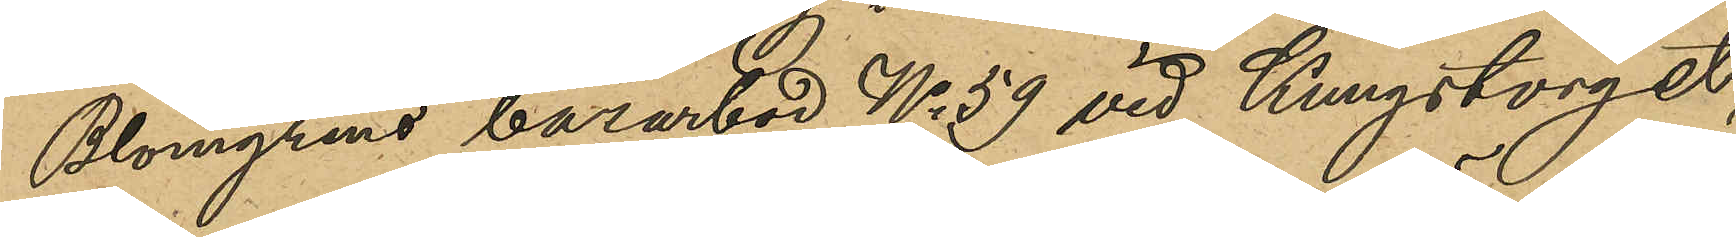Blomgrens bazarbod No 59 vid Kungstorget,
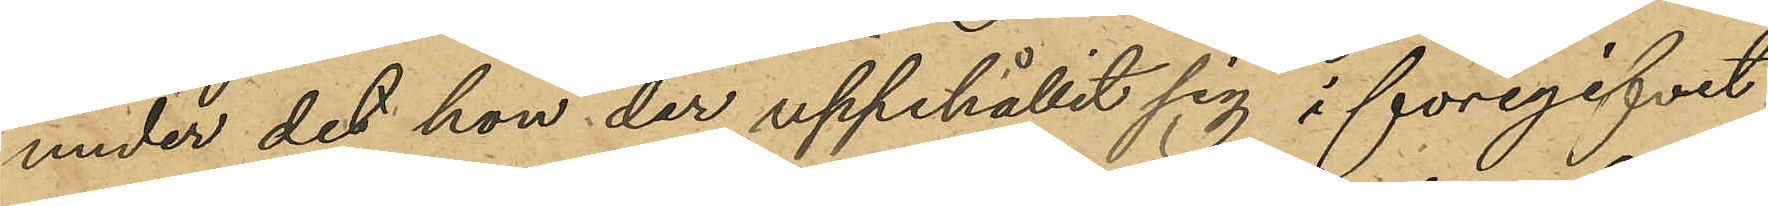under det hon der uppehållit sig i föregifvet
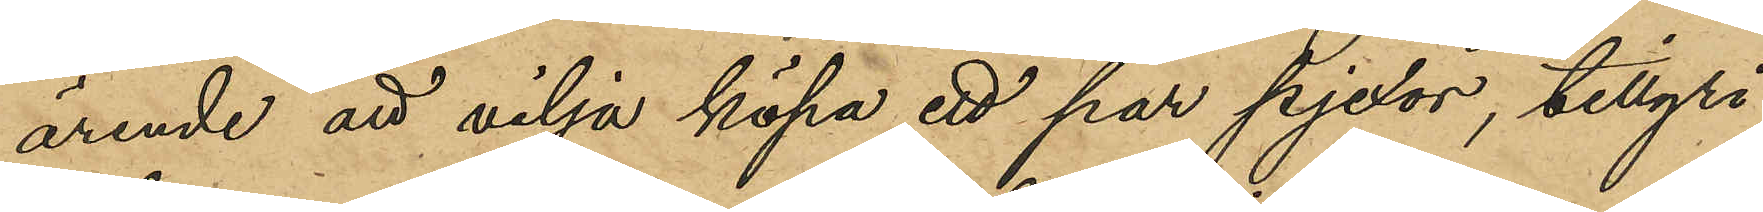ärende att vilja köpa ett par pjexor, tillgri¬
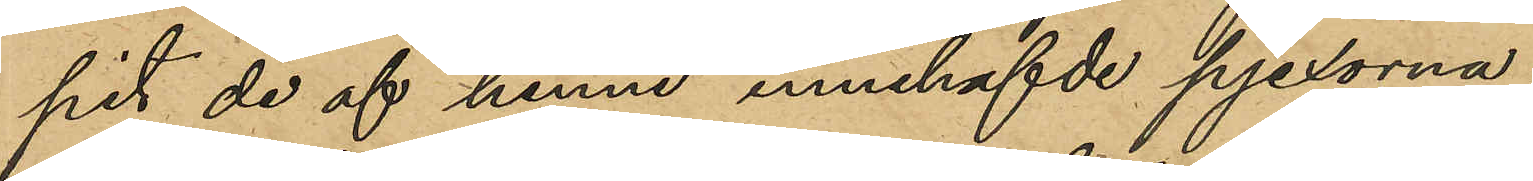pit de af henne innehafvde pjexorna;
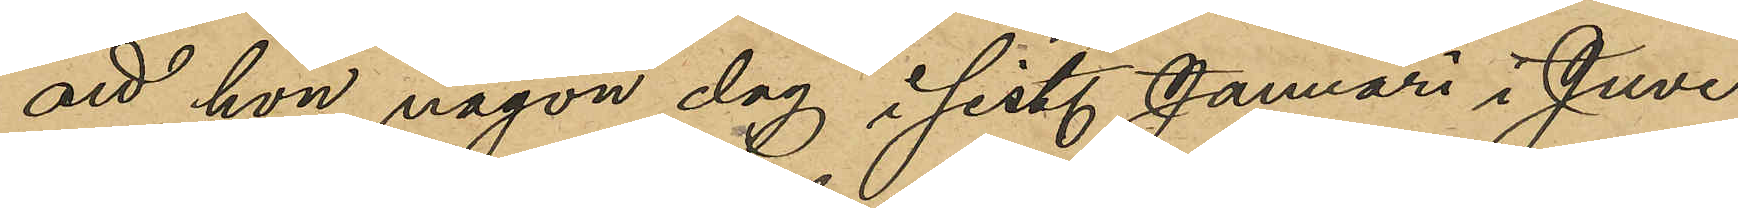att hon någon dag i sist. Januari i Juve¬
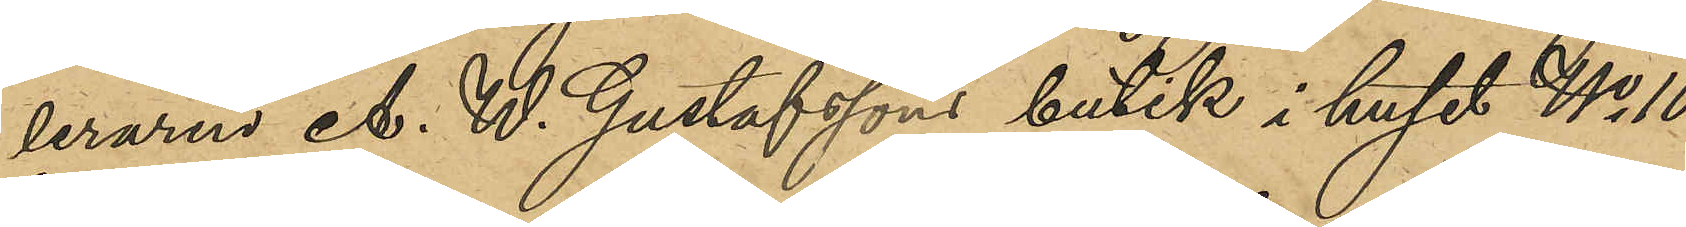leraren A. W. Gustafssons butik i huset No 10
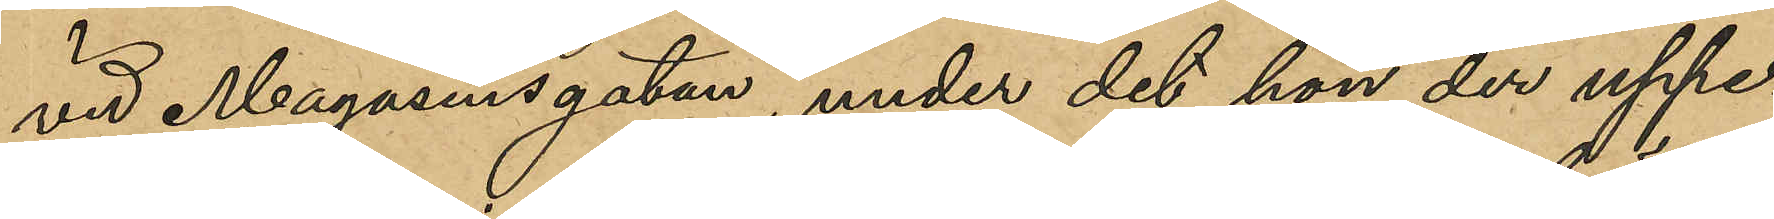vid Magasinsgatan, under det hon der uppe¬
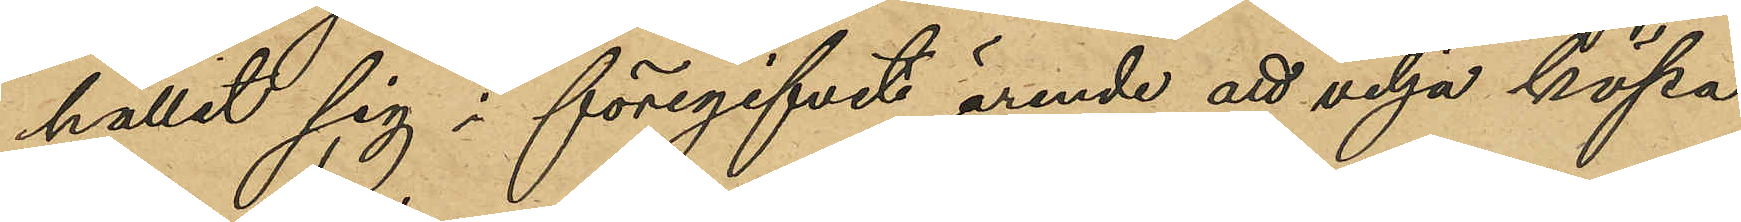hållit sig i föregifvet ärende att vilja köpa
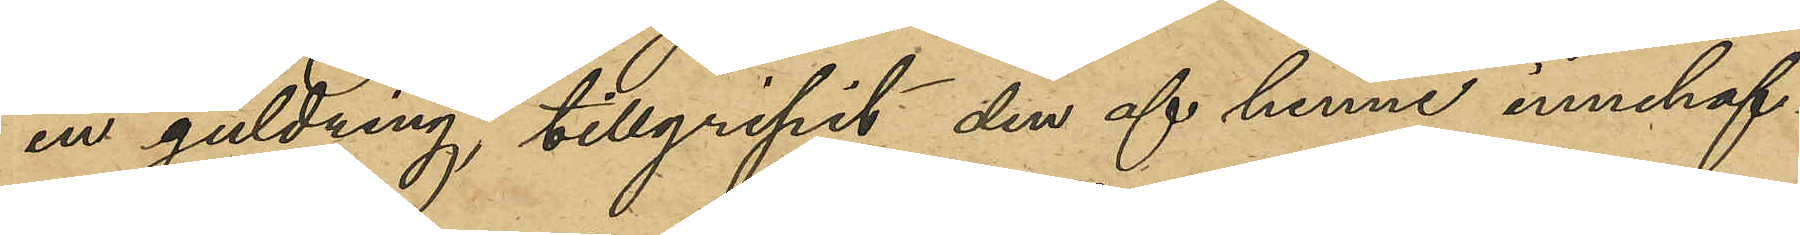en guldring tillgripit den af henne innehafv¬
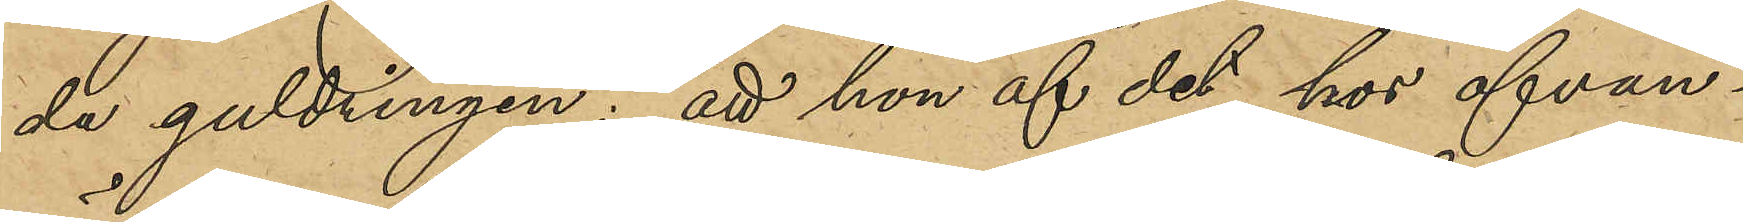da guldringen; att hon af det hos ofvan¬
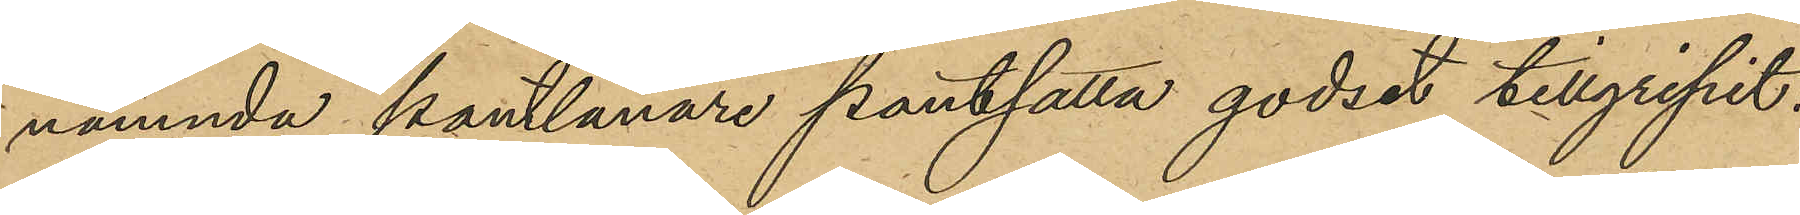nämnda pantlånare pantsatta godset tillgripit,
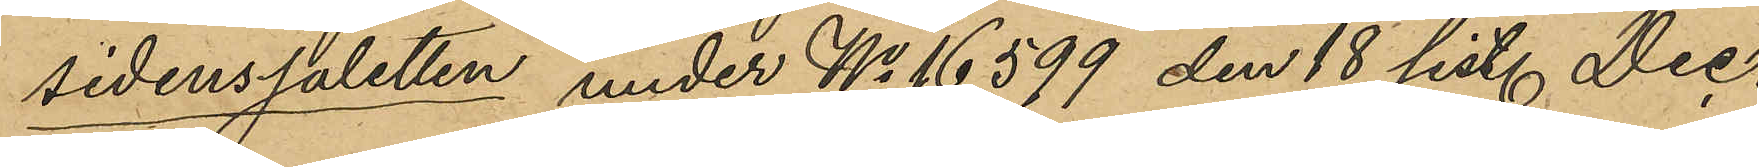sidensjaletten under No 16,599 den 18 sist. Dec.
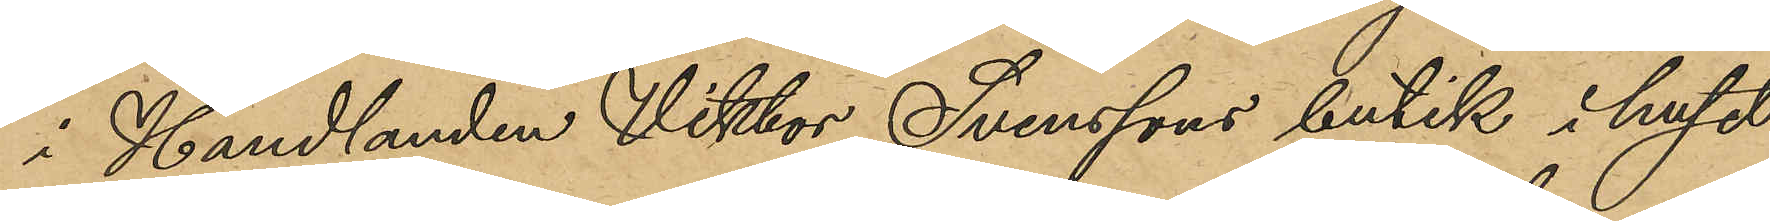i Handlanden Viktor Svenssons butik i huset 
